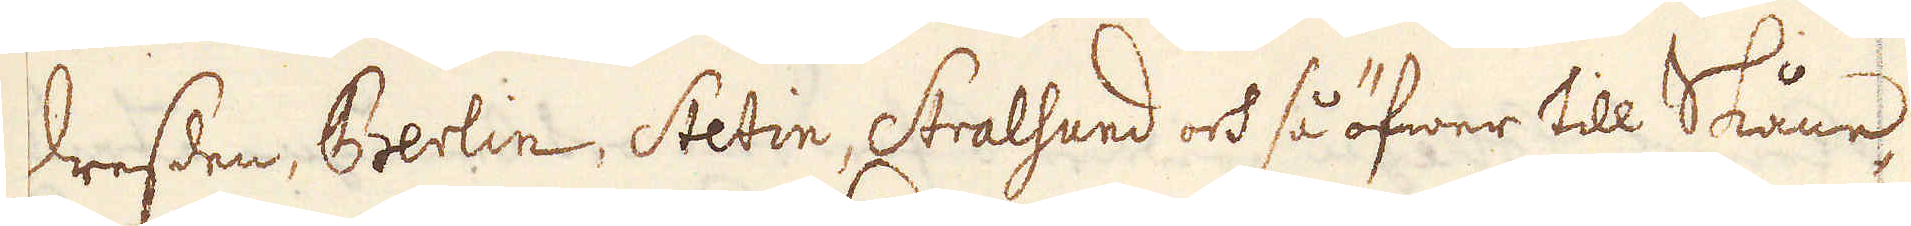Dresden, Brerlin, Stetin, Stralsund och så öfwer till Skåne,
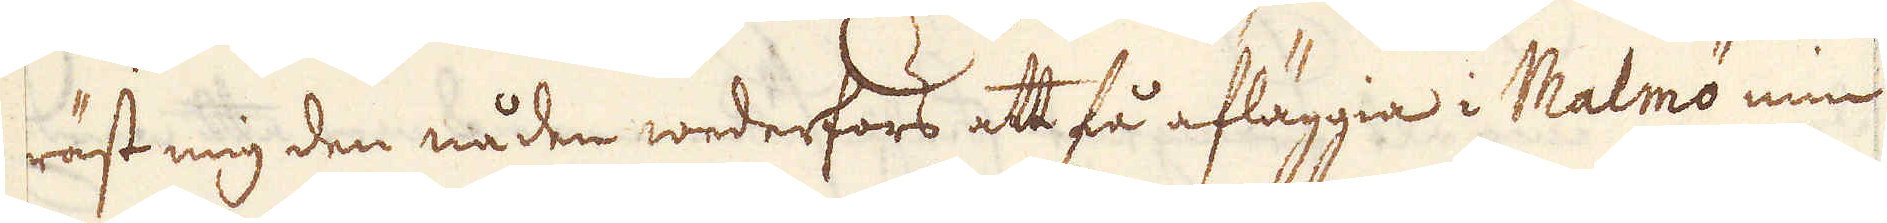räst mig den nåden wederfors att få afläggia i Malmö min
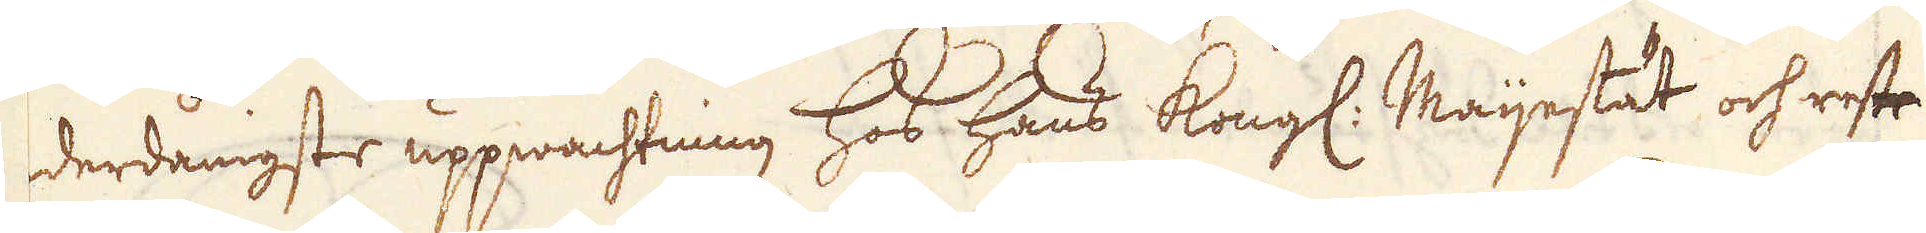derdånigste uppwachtning hos hans Kongl: Maijestät och reste
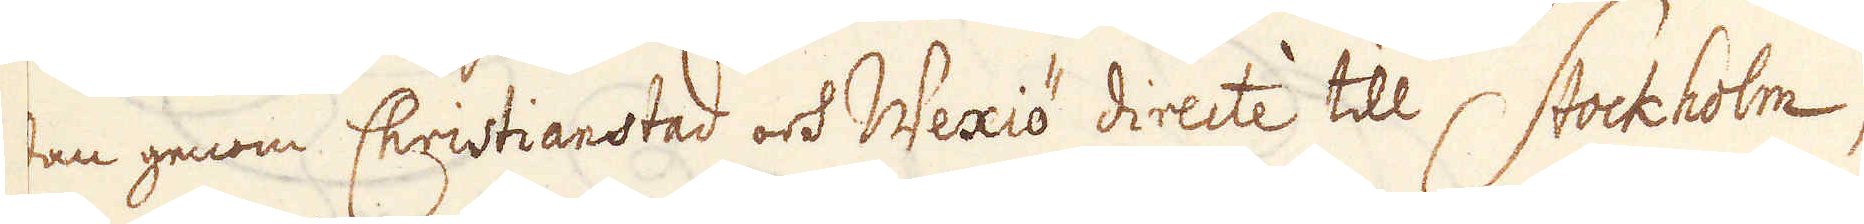dan genom Christianstad och Wexiö directe till Stockholm,
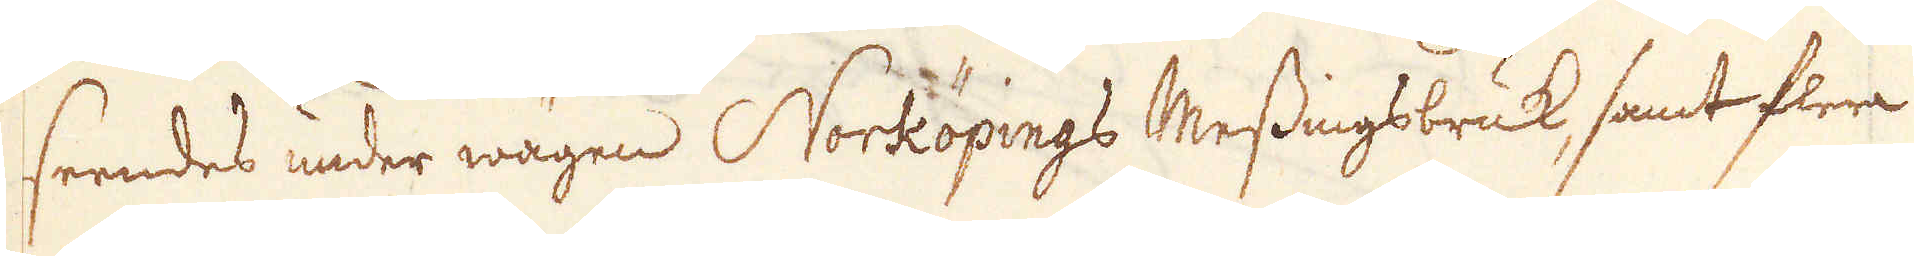seendes under wägen Norköpings Messingsbruk, samt flera
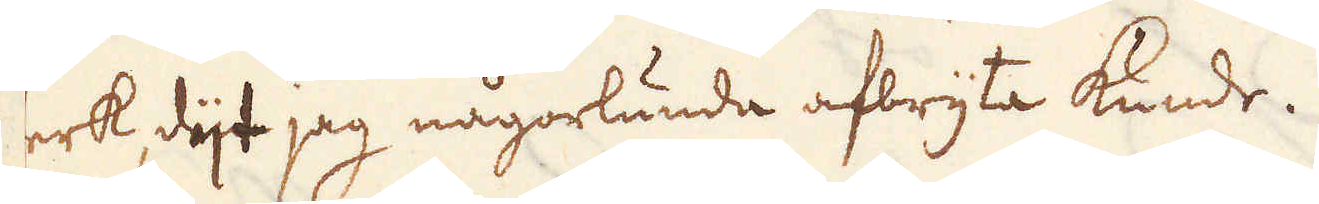erk, dijt jag någorlunda afbryta kunde.
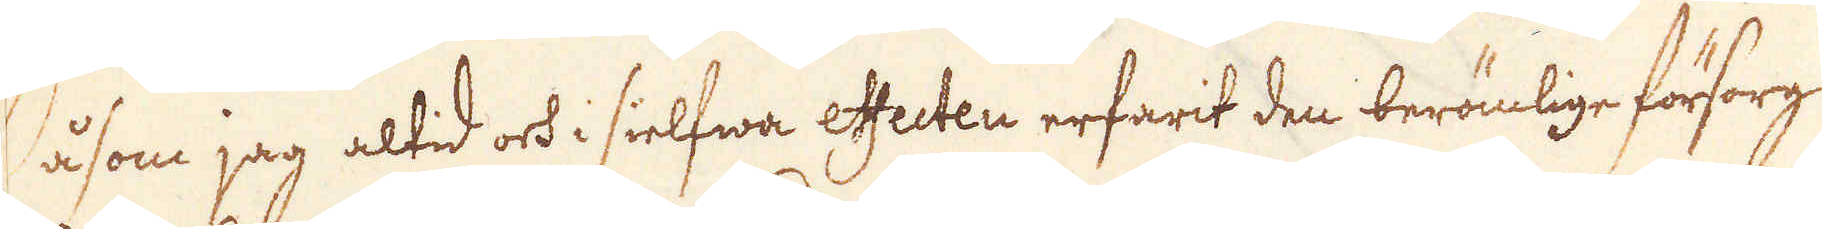Såsom jag altid och i sielfwa effecten erfarit den berömlige försorg
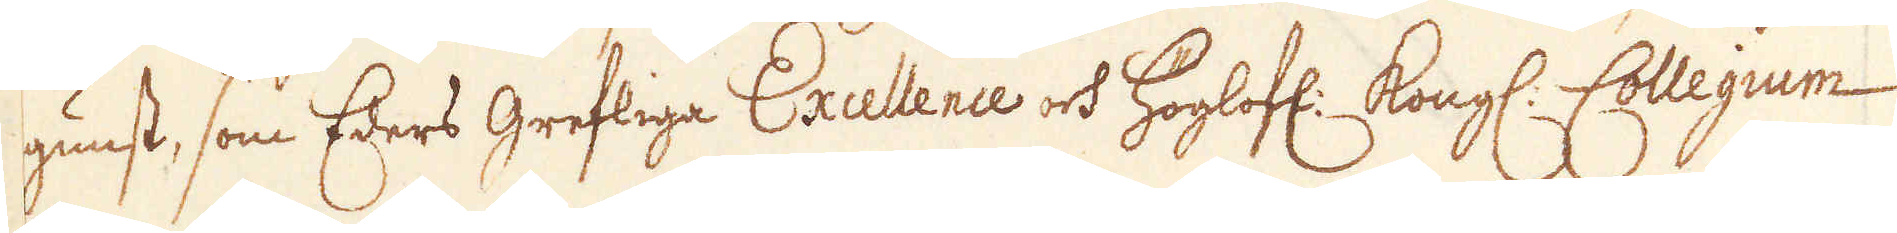gunst, som Eders Grefliga Excelence och Höglofl: Kongl: Collegium
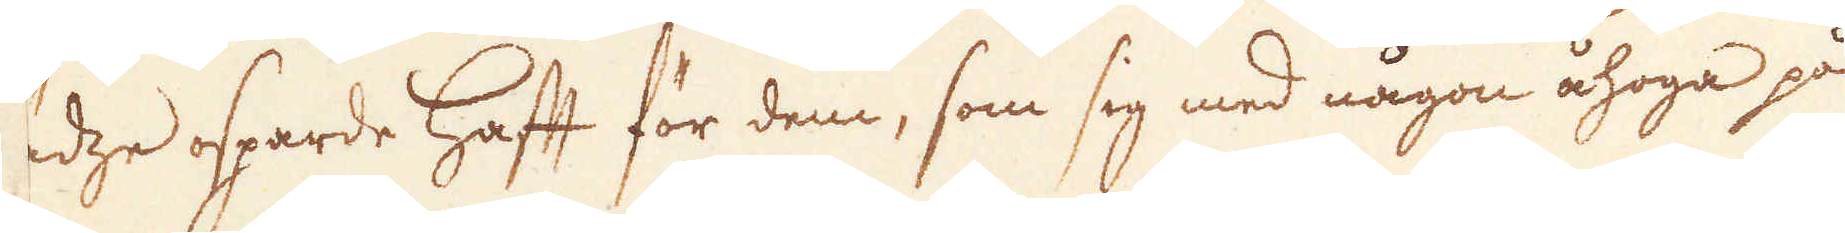tedze osparde Haft för dem, som sig med någon åhoga på
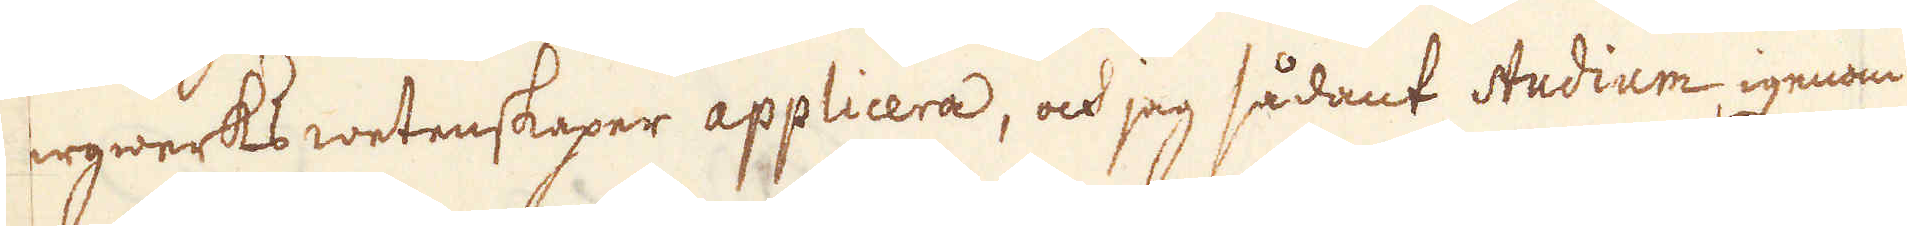ergwerks wetenskaper applicera, ock jag sådant studium igenom
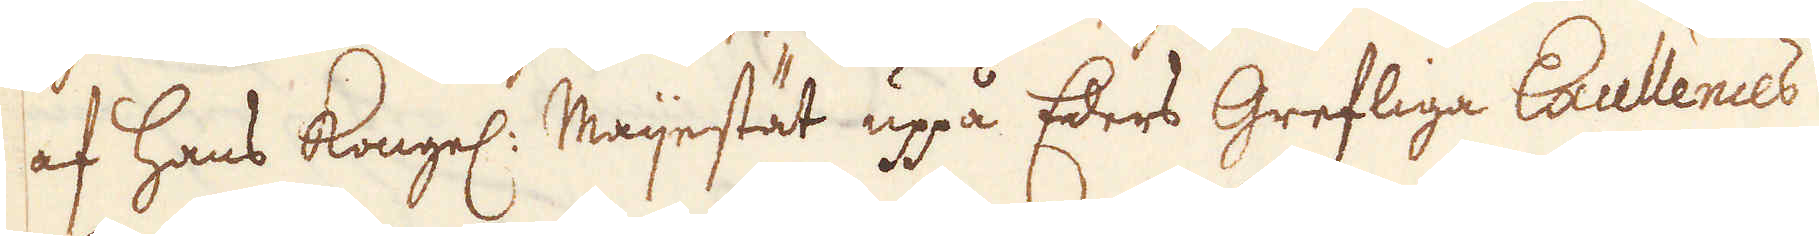af Hans Kongel: Maijestät uppå Eders Grefliga Excellences
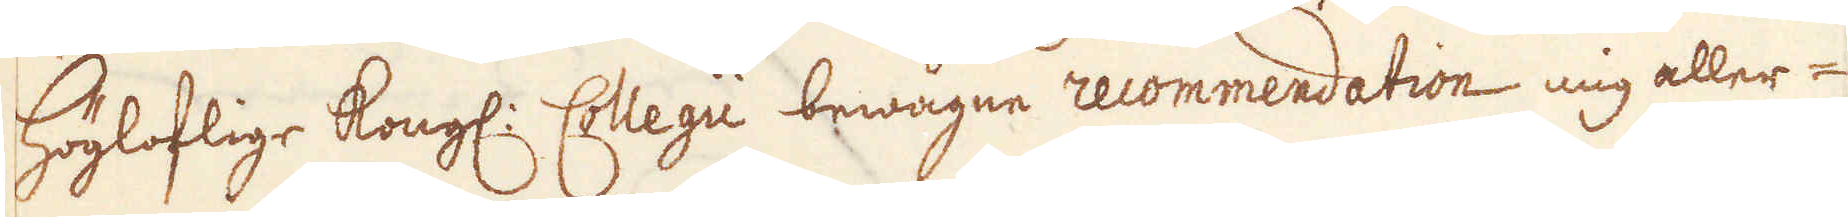Högloflige Kongl: Collegii bewågne recommendation mig aller-
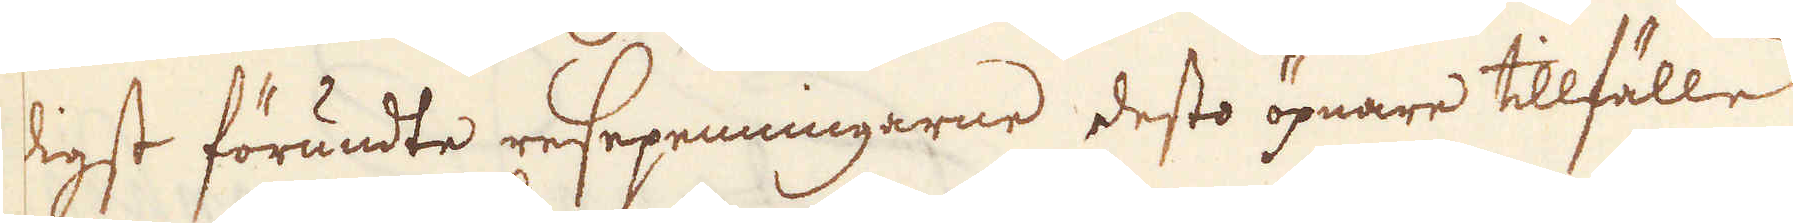digst förundte resepenningarne desto öpnare tillfälle
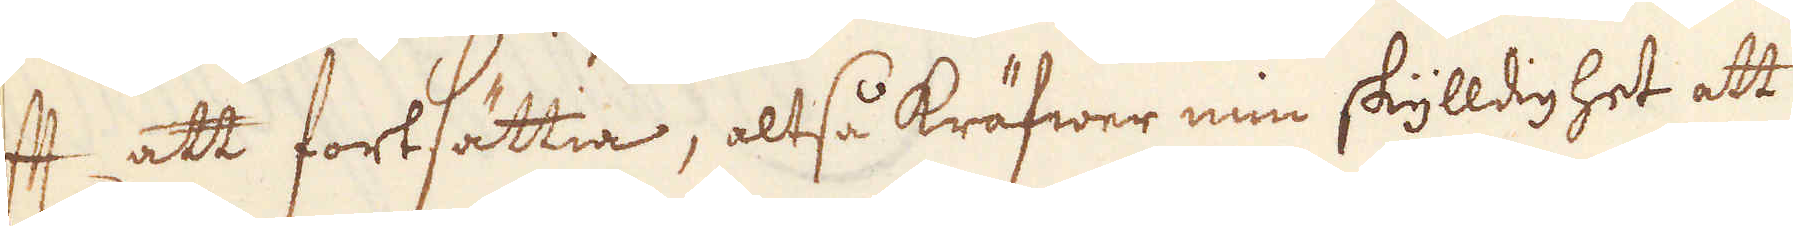ft att fortsättia, altså kräfwer min skylldighet att
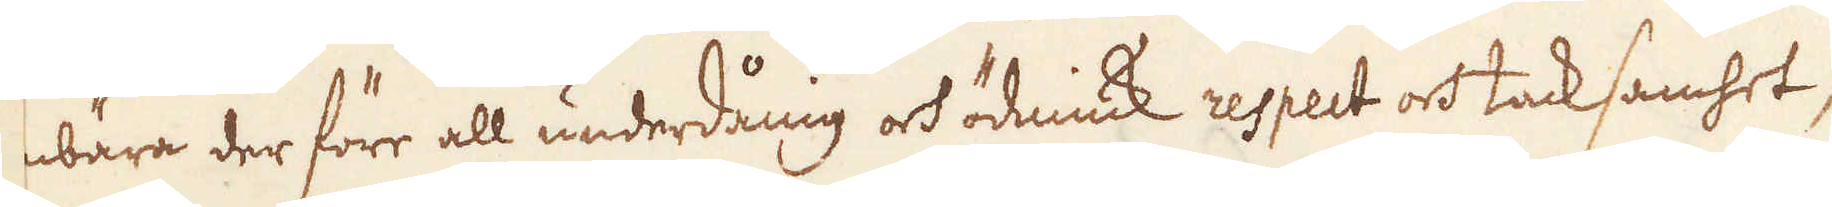nbära der före all underdånig och ödmiuk respect och tacksamhet,
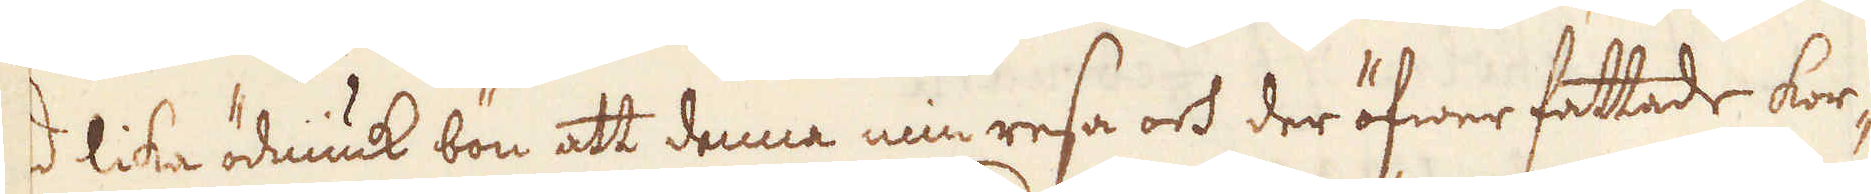d lika ödmiuk bön att denna min resa och der öfwer fattade kor-
